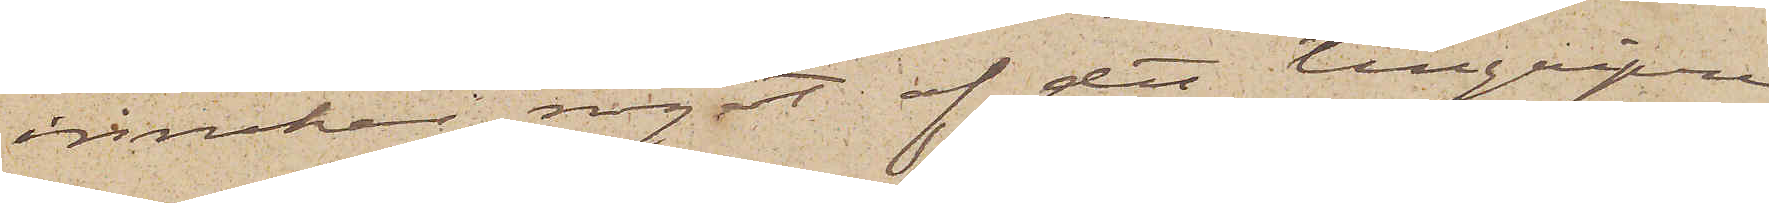innehar något af det tillgripne
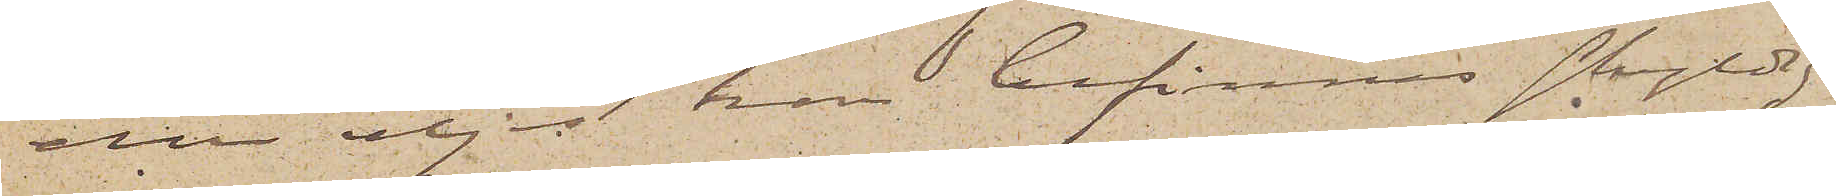eller eljest kan befinnes skyldig
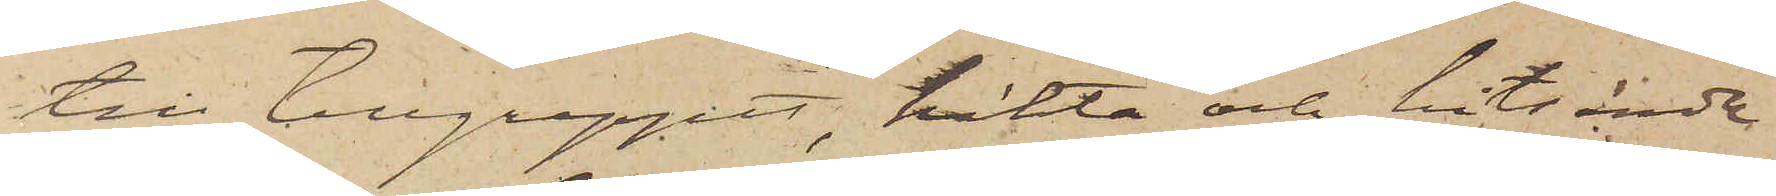till tillgreppet, häkta och hitsända
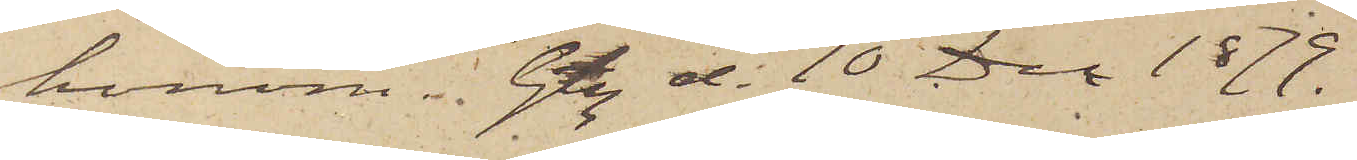honom, Gtbg d. 10 Dec. 1879.
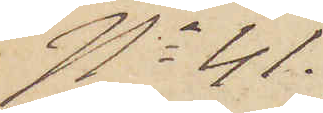No 41.
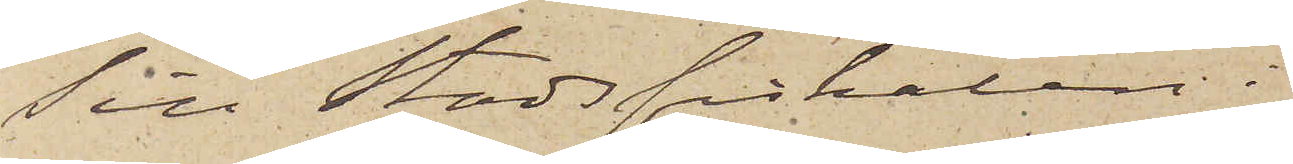Till Stadsfiskalen i
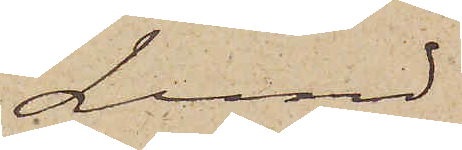Lund
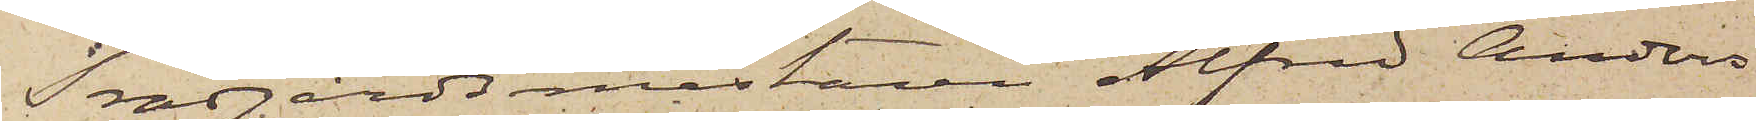Trädgårdsmästaren Alfred Anders¬
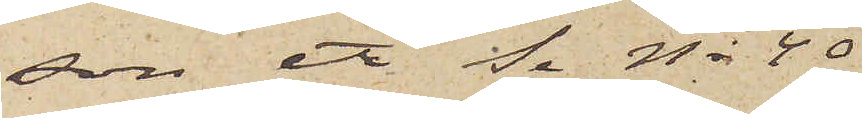son etc Se No 40
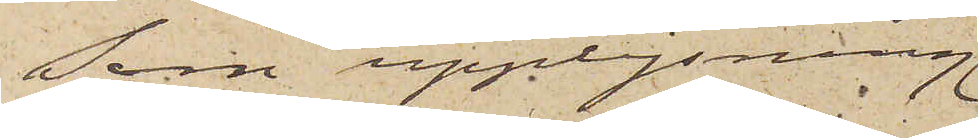Som upplysning
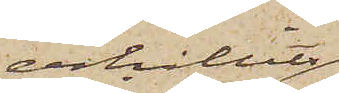erhållits
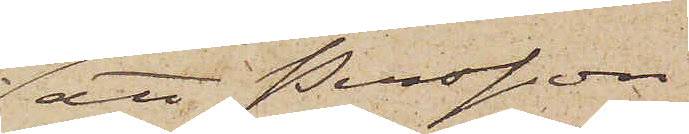att Persson
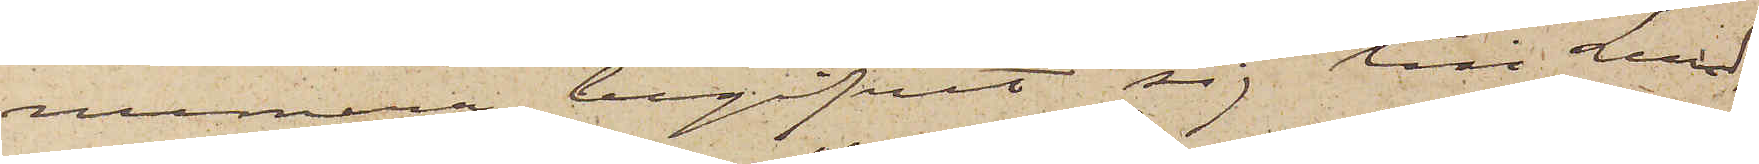numera begifvit sig till Lund,
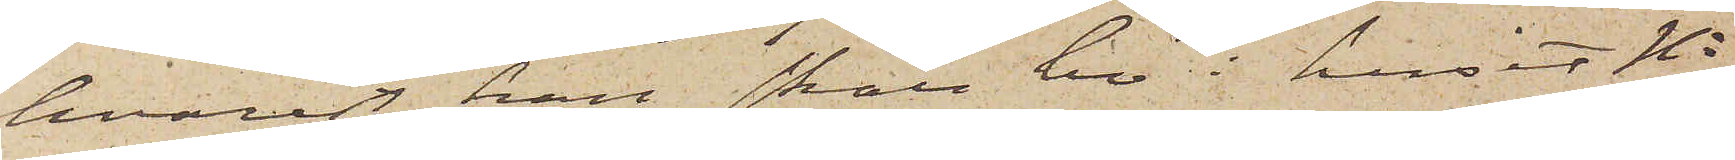hvarest han skall bo i huset No
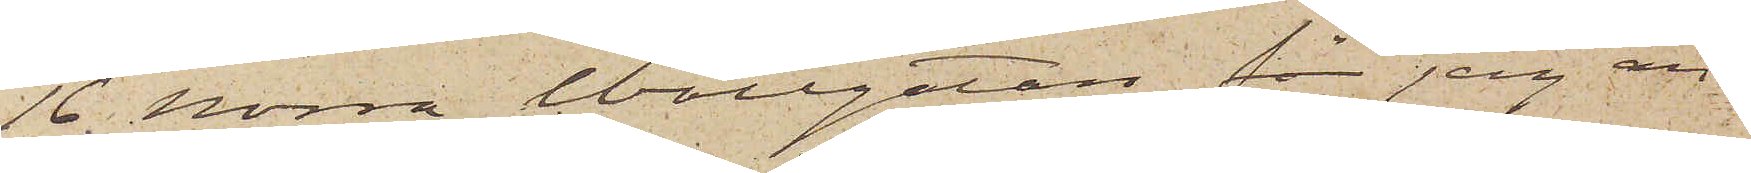16. Norra Wallgatan, får jag an¬
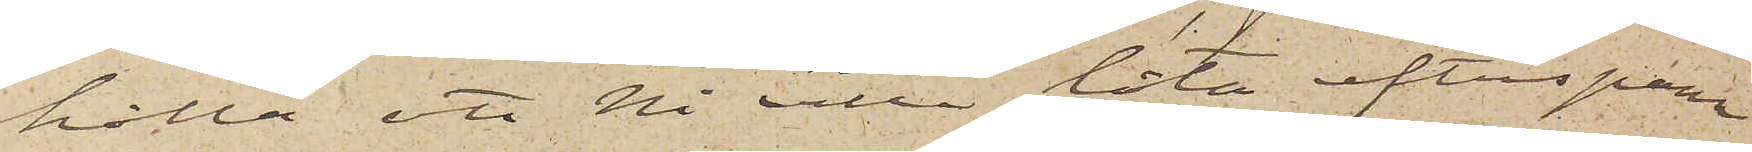hålla att Ni ville låta efterspana
